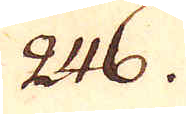246.
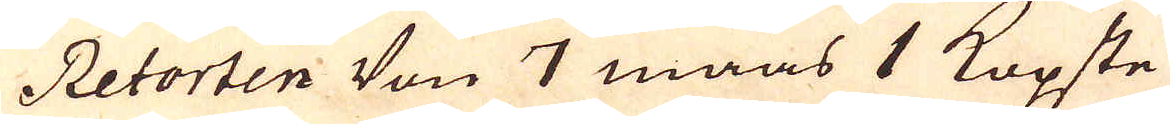Retorten Von 7 maas 1 Kopste
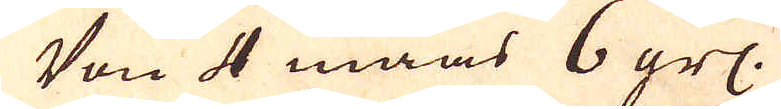Von 4 maas 6 grs.
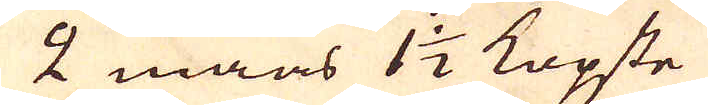2 maas 1 1/2 Kopste
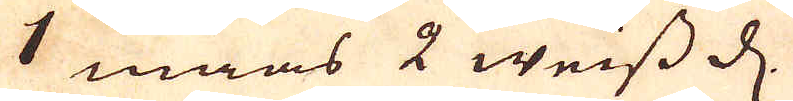1 maas 2 weiss d.
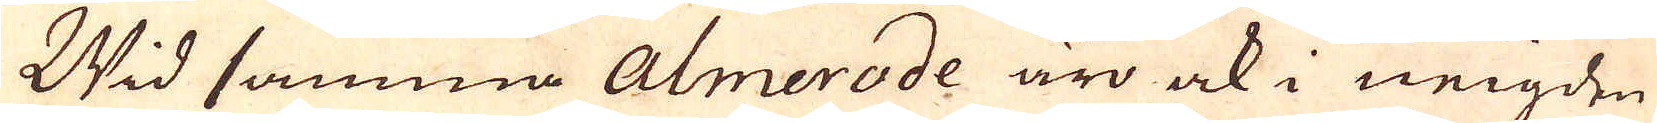Wid samma Almerode äro ock i neigden
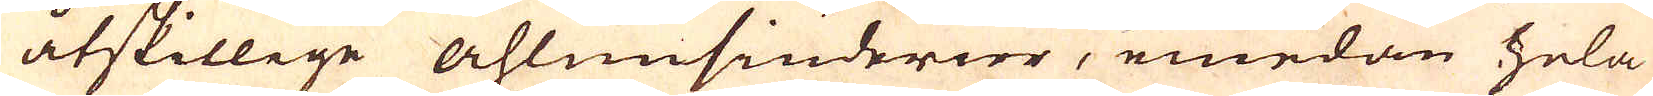åtskillege ahlunsiuderier, emedan hela
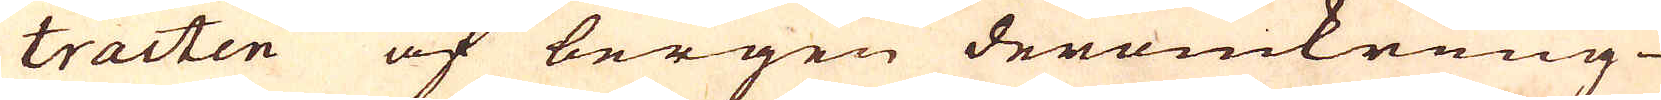tracten af bergen deromkring
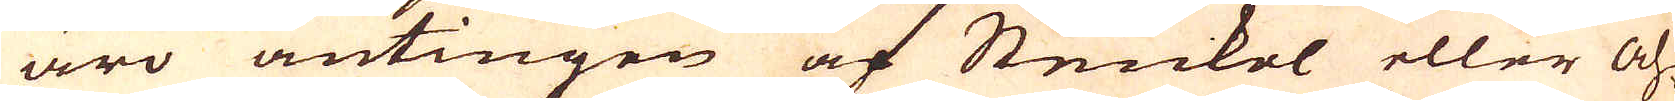äro antingen af Stenkol eller Ah-
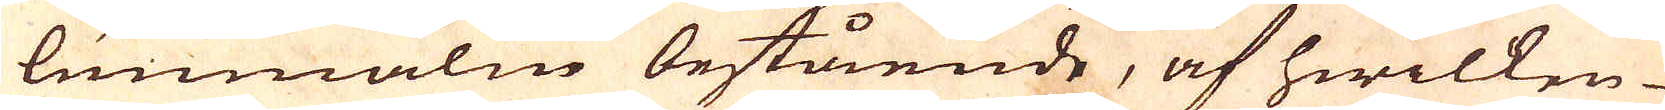lunnmalm bestående, af hwilken
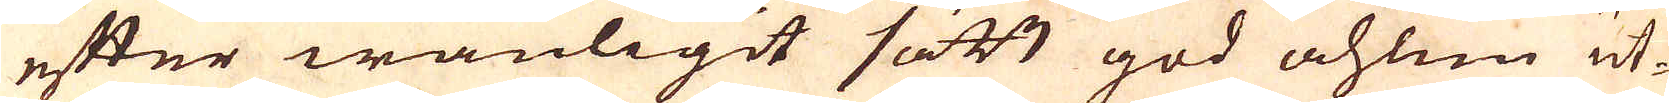efter wanligit sätt god ahlun ut-
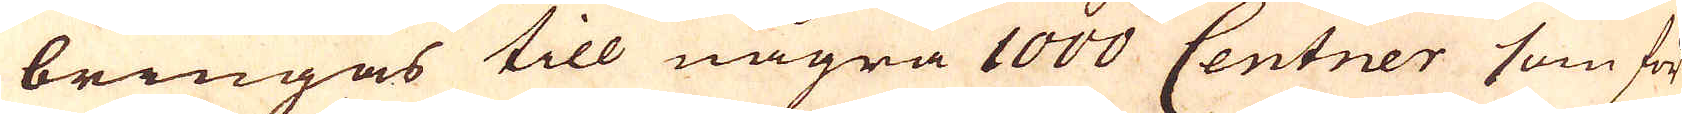bringas till några 1000 Centner som för-
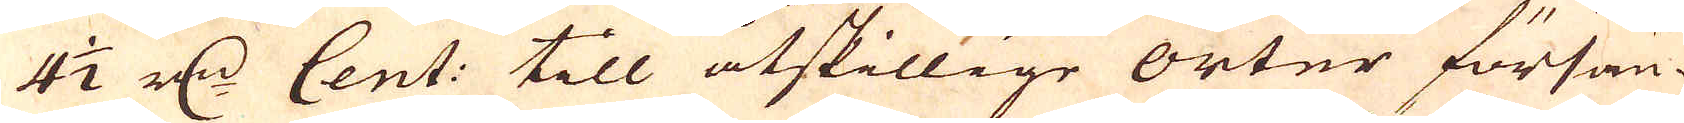4 1/2 r:dr Cent: till åtskillige orter försän-
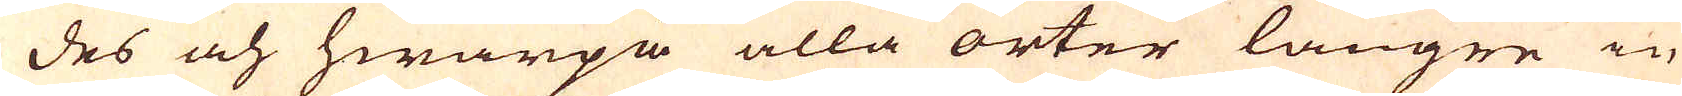des och hwarpå alla orter längre in
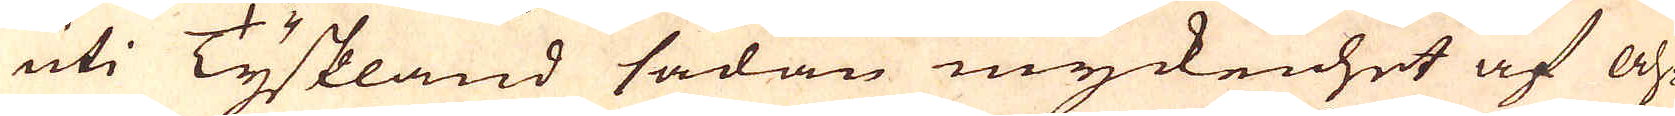uti Tyskland sådan myckenhet af ah-
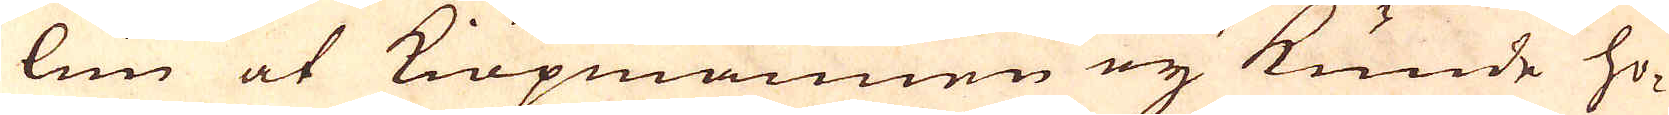lun at Kiöpmännen ey kunde ho-
